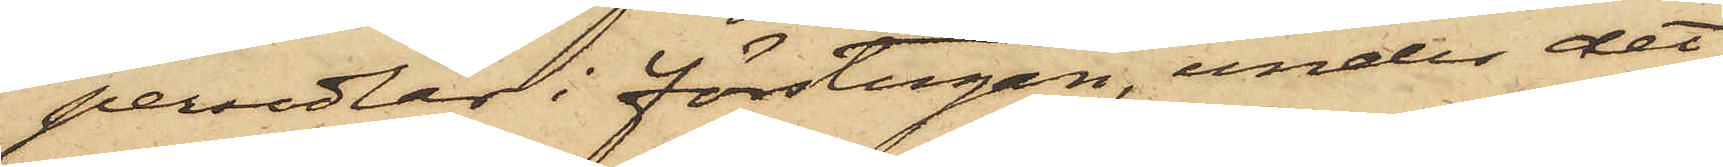persedlar i förstugan, under det
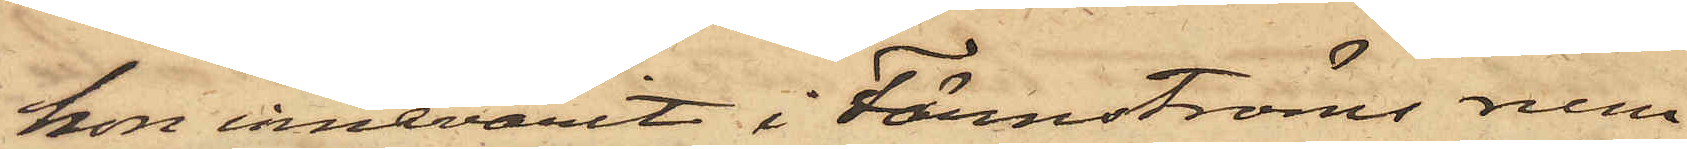hon innevarit i Färnströms rum
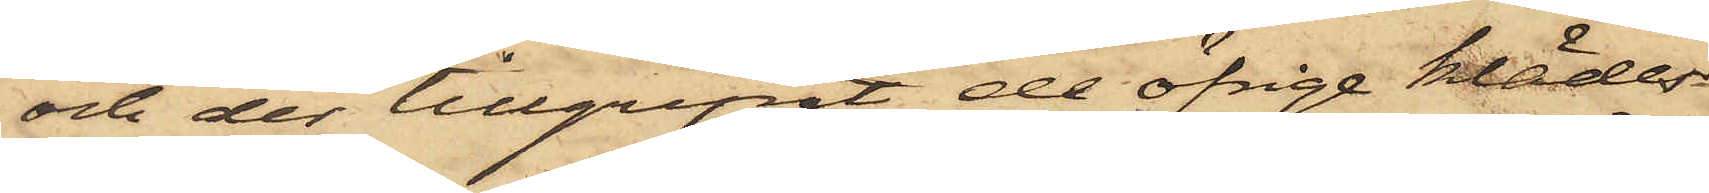och der tillgripit de öfrige kläder¬
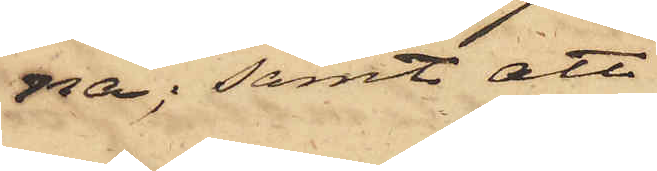na; samt att
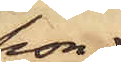hon
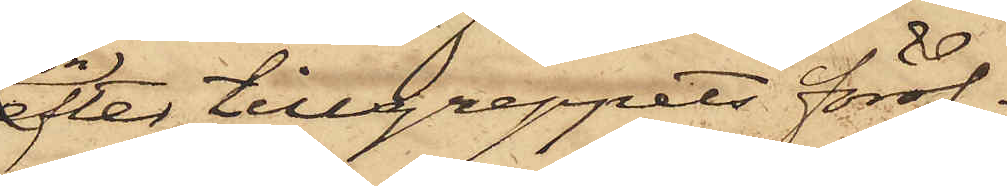efter tillgreppets föröf¬
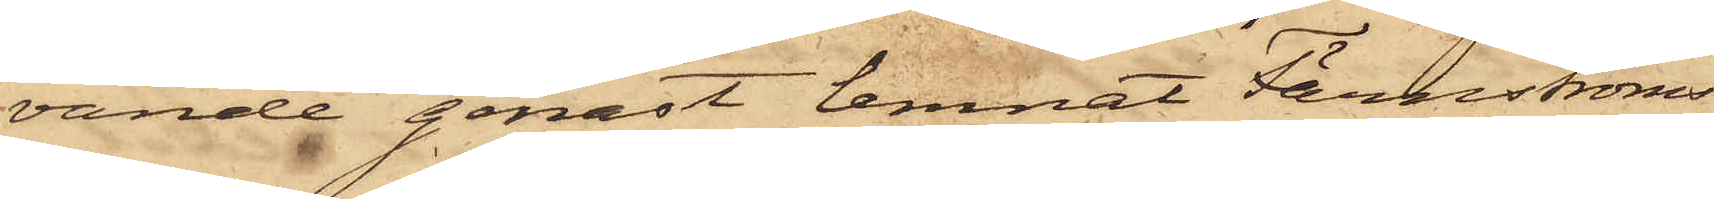vande genast lemnat Färnströms
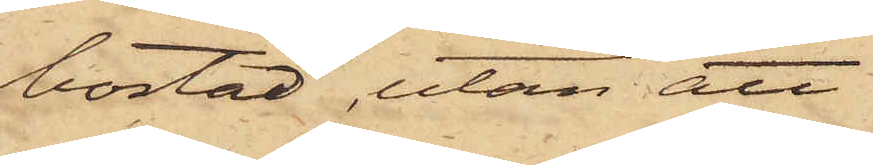bostad, utan att
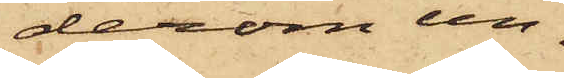derom un¬
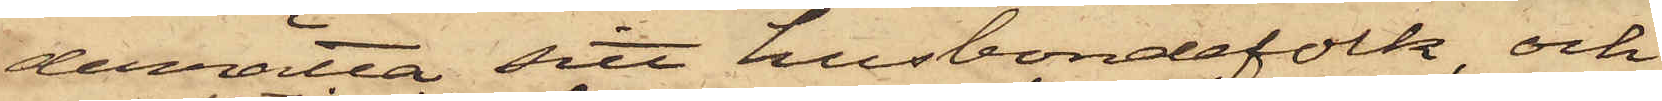derrätta sitt husbondefolk, och
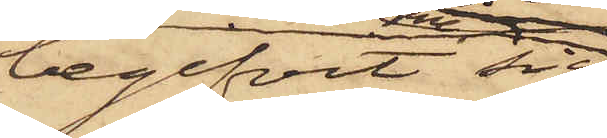begifvit sig
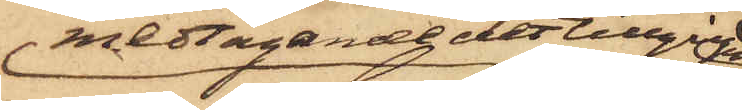medtagande det tillgripne
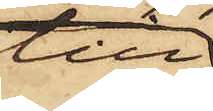till
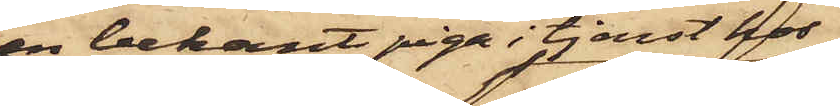en bekant piga i tjenst hos
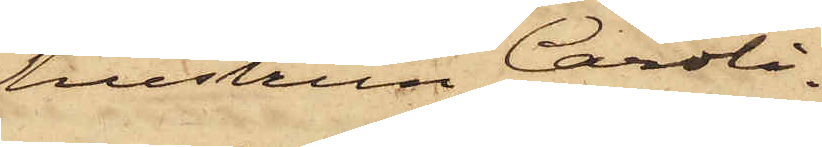hustrun Caroli¬
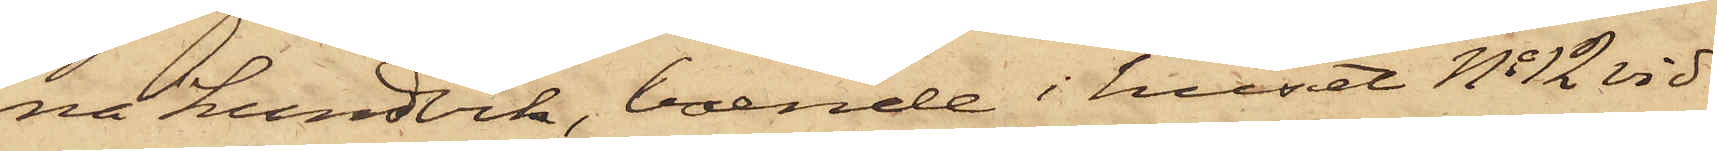na Lundvik, boende i huset No 12 vid
